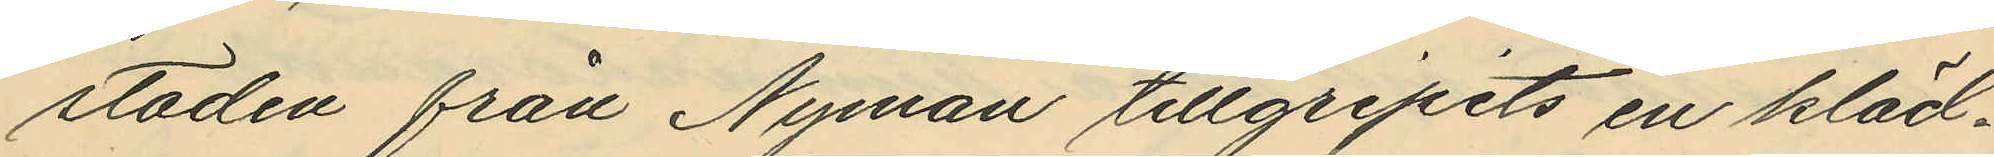staden från Nyman tillgripits en kläd¬
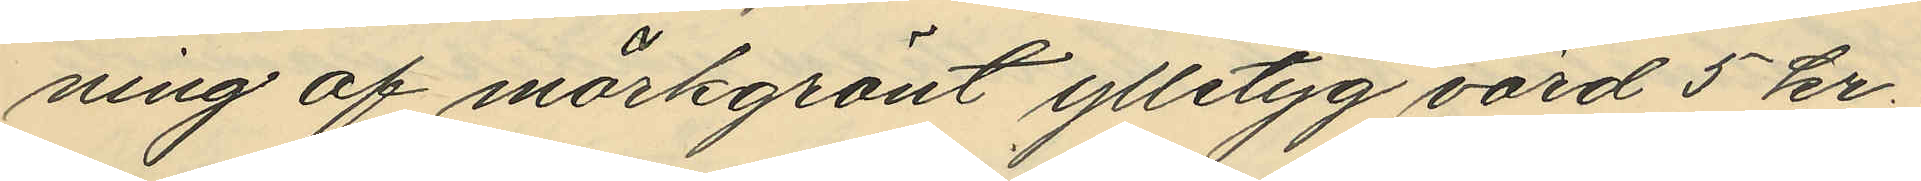ning af mörkgrönt ylletyg värd 5 kr;
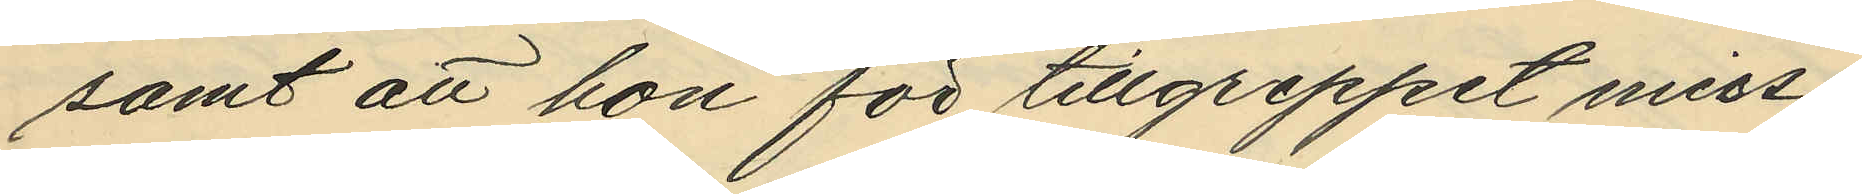samt att hon för tillgreppet miss¬
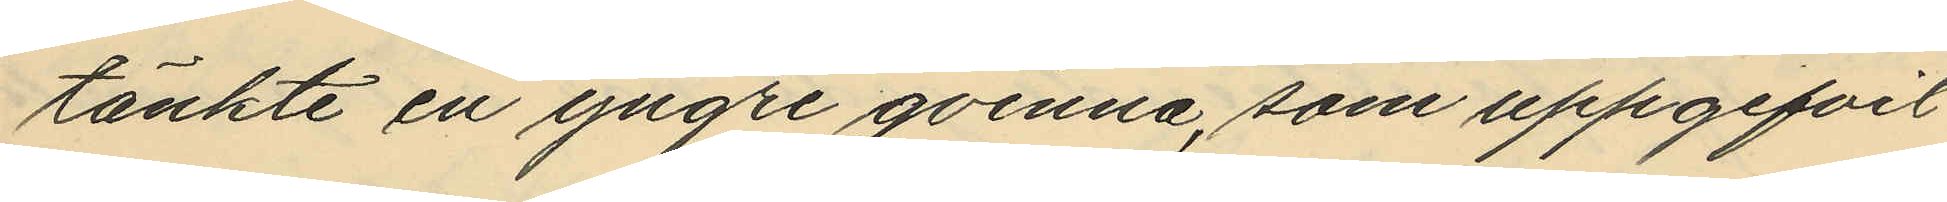tänkte en yngre qvinna, som uppgifvit
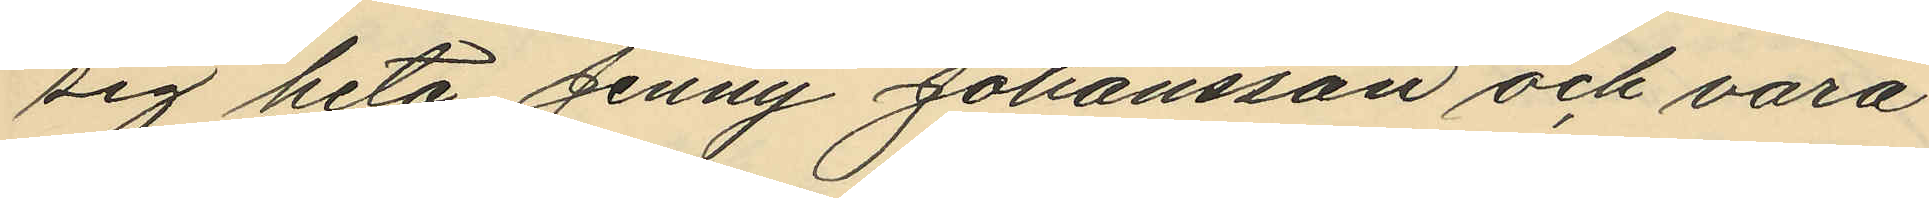sig heta Jenny Johansson och vara
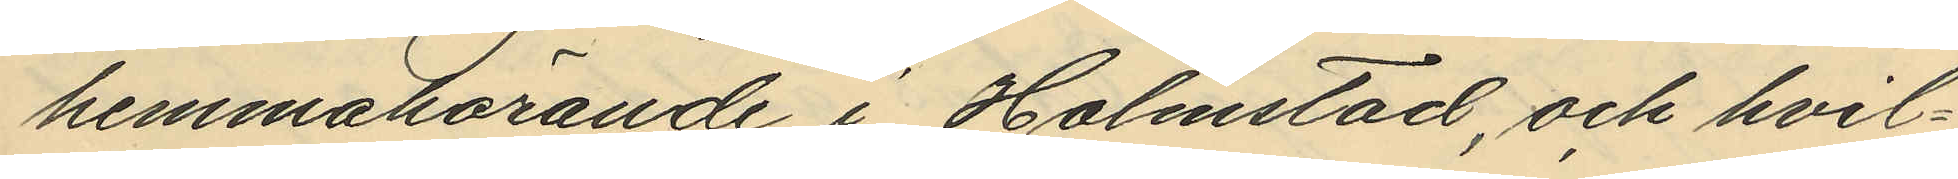hemmahörande i Halmstad, och hvil¬
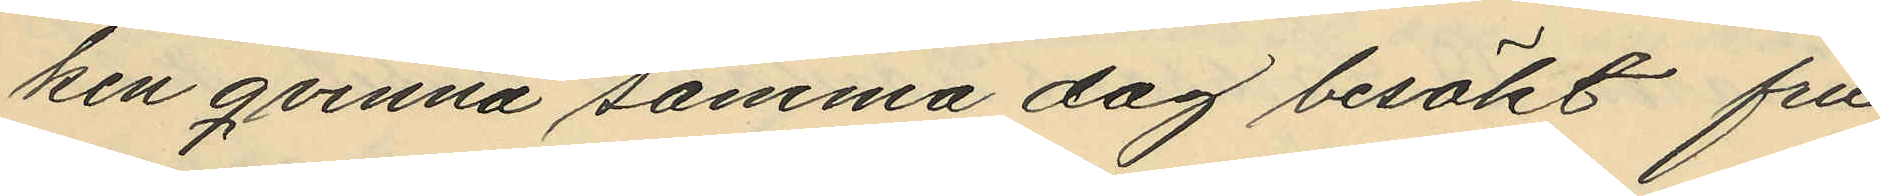ken qvinna samma dag besökt fru
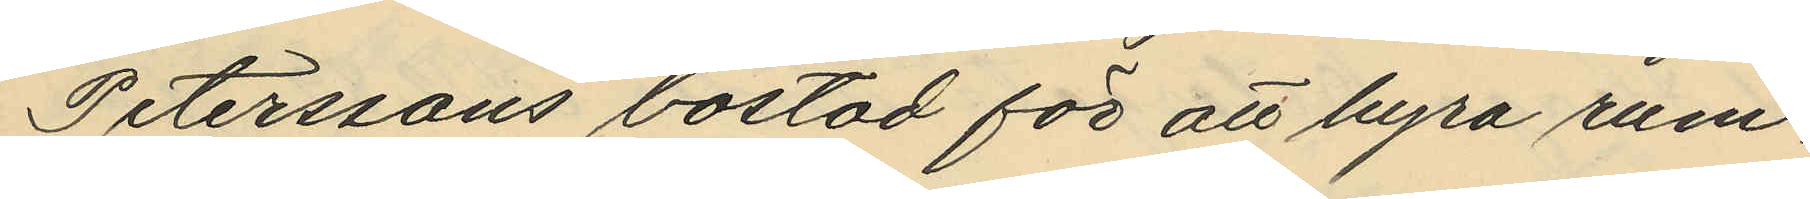Peterssons bostad för att hyra rum.
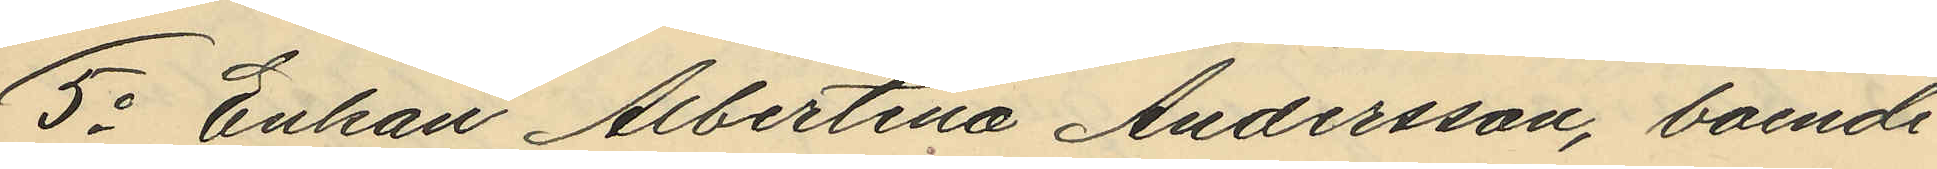5o Enkan Albertina Andersson, boende
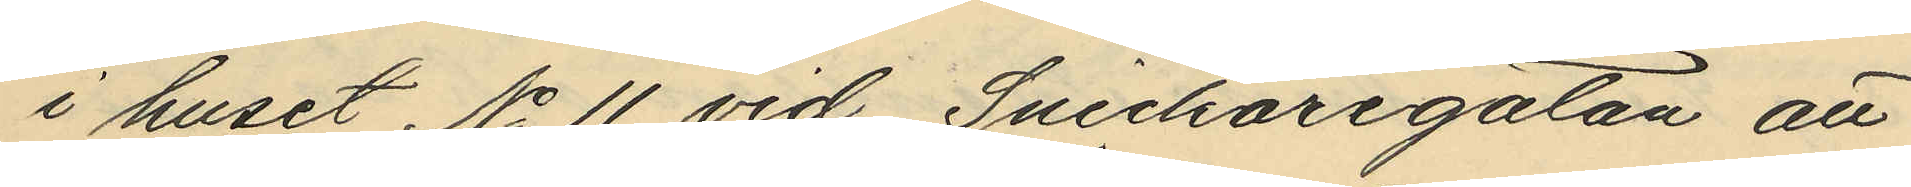i huset No 11 vid Snickaregatan att
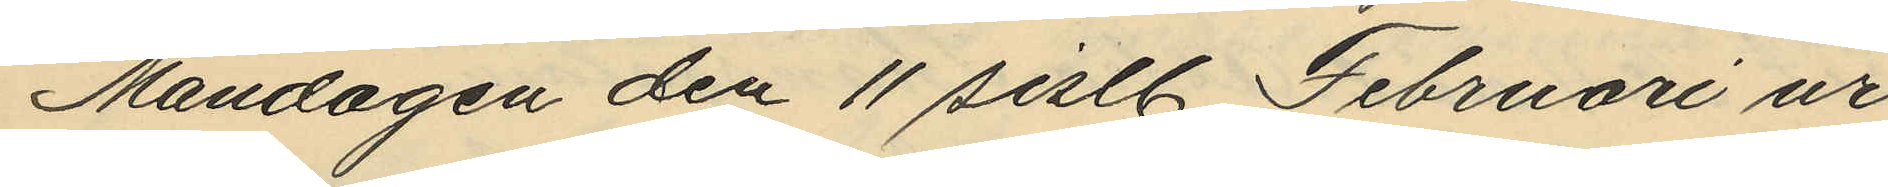Måndagen den 11 sistl. Februari ur
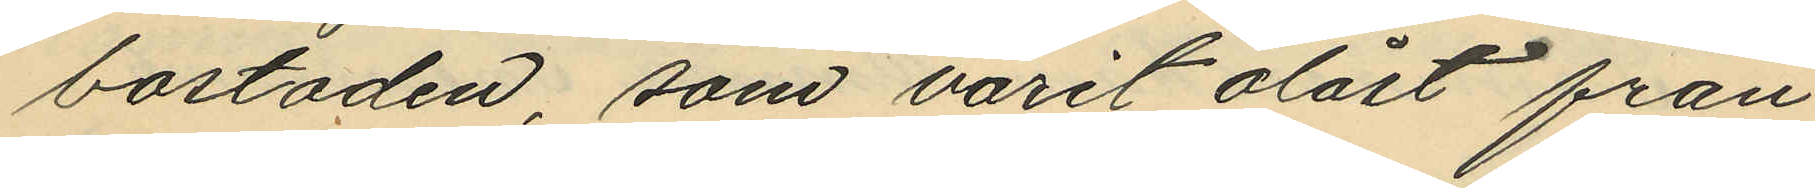bostaden, som varit olåst från
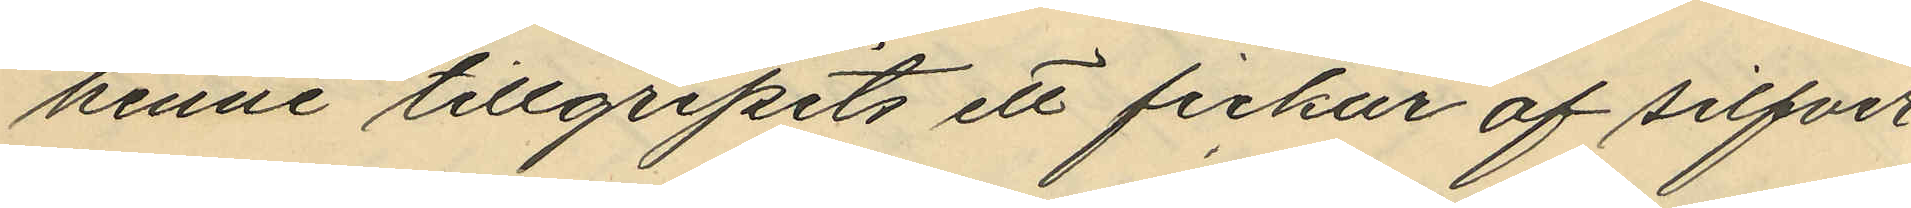henne tillgripits ett fickur af silfver
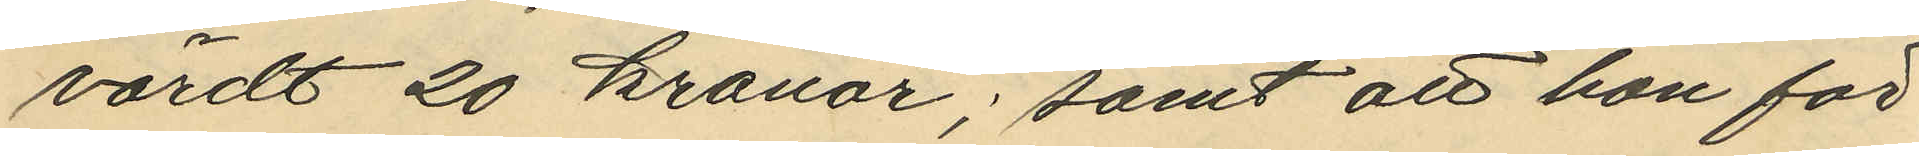värdt 20 kronor; samt att hon för
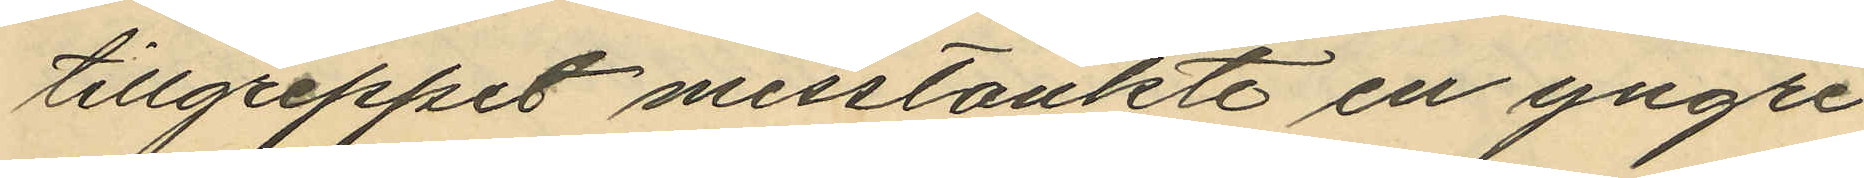tillgreppet misstänkte en yngre
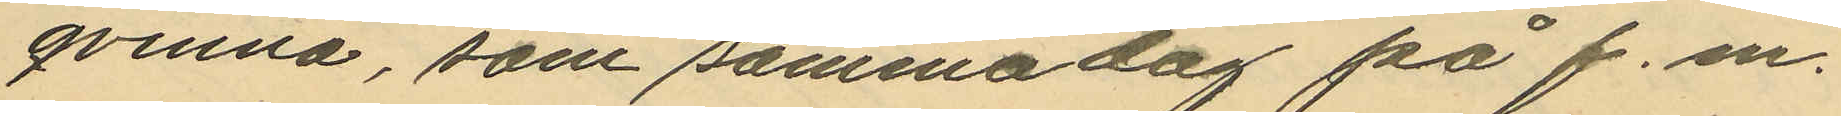qvinna, som samma dag på f.m.
